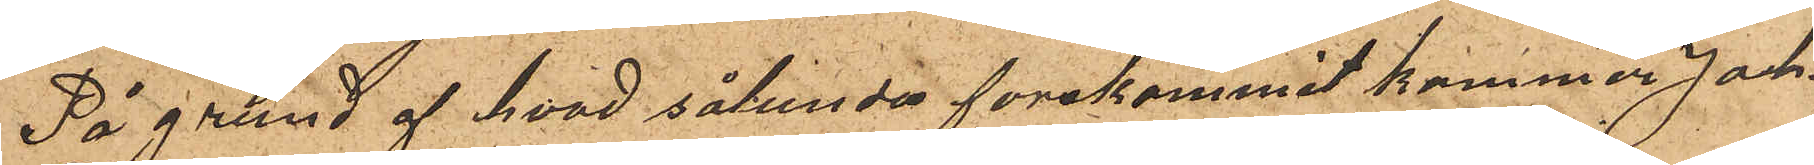På grund af hvad sålunda förekommit kommer Joh.
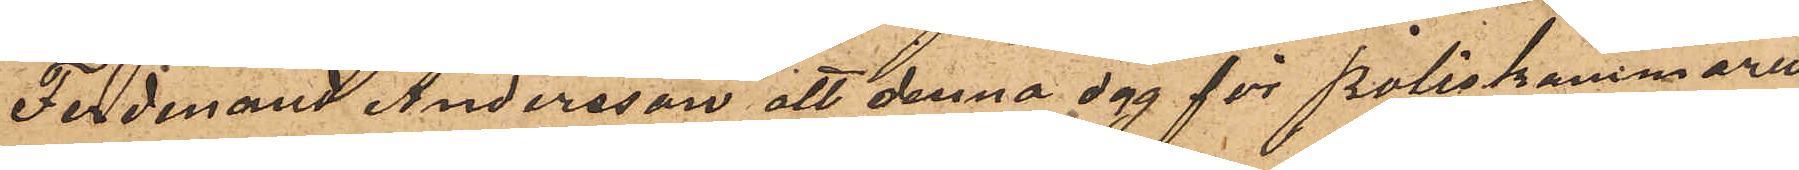Ferdinand Andersson att denna dag för Poliskammarn
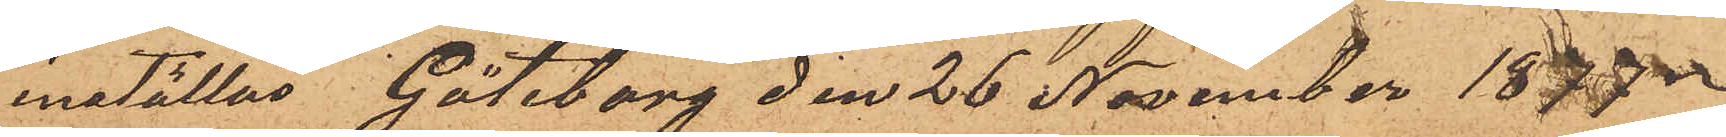inställas. Göteborg den 26 November 1877.
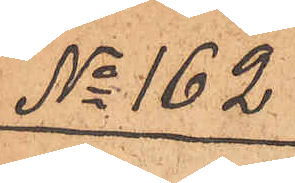No 162
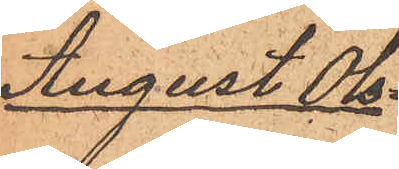August Ols¬
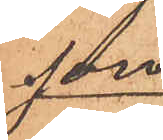son
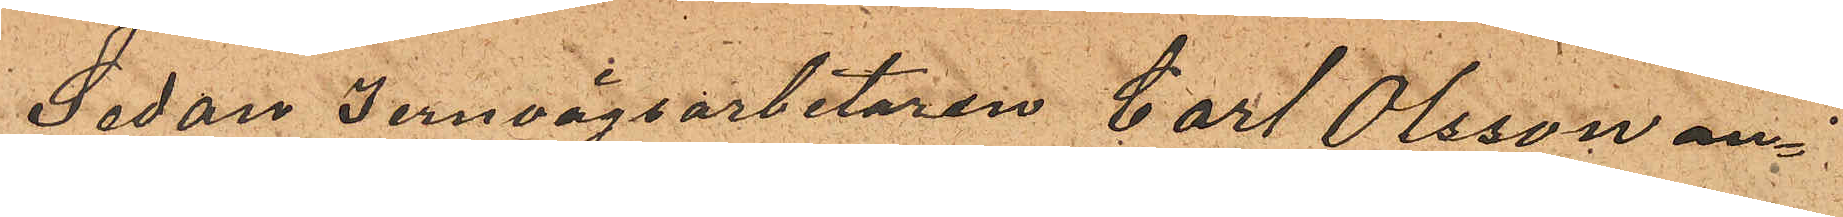Sedan Jernvägsarbetaren Carl Olsson an¬
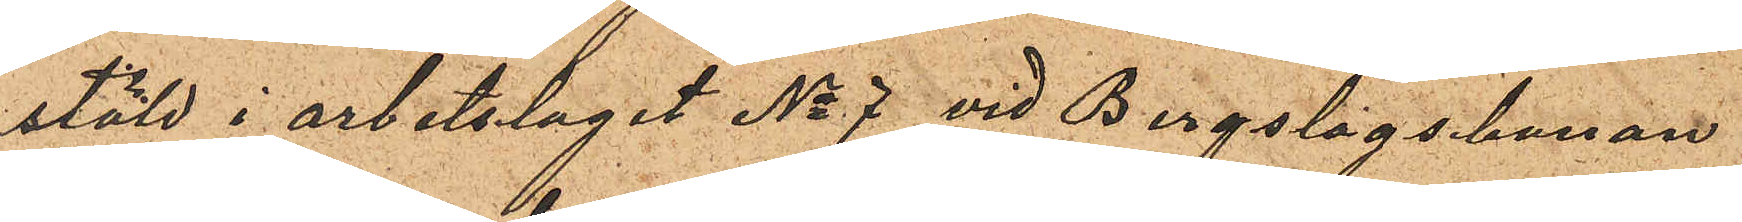stäld i arbetslaget No 7 vid Bergslagsbanan
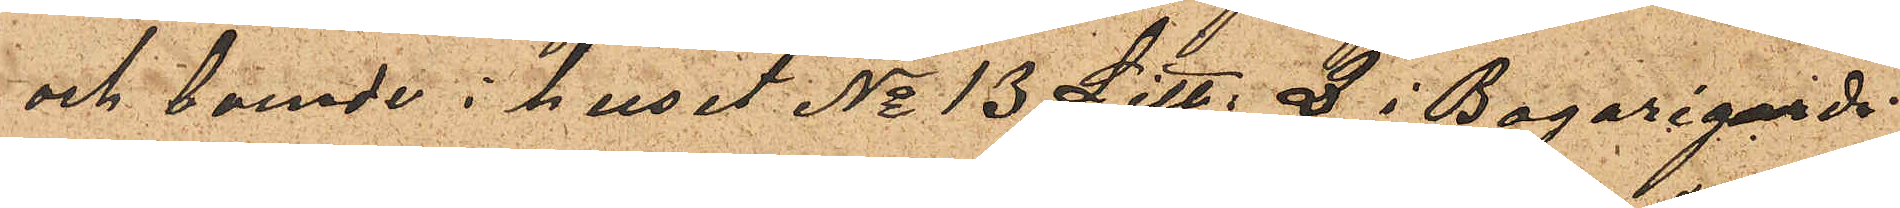och boende i huset No 13 Litt. Q i Bagaregards¬
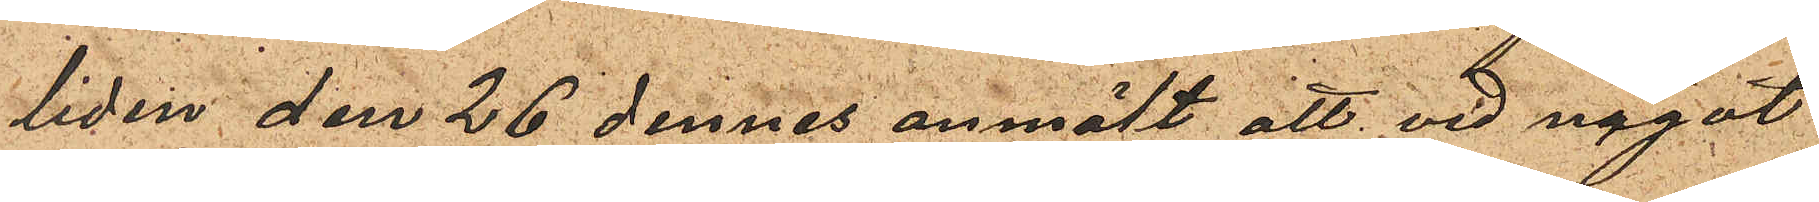liden den 26 dennes anmält att vid något
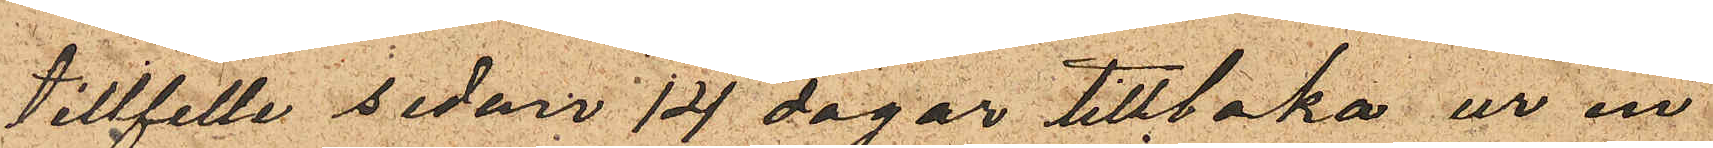tillfälle sedan 14 dagar tillbaka ur en
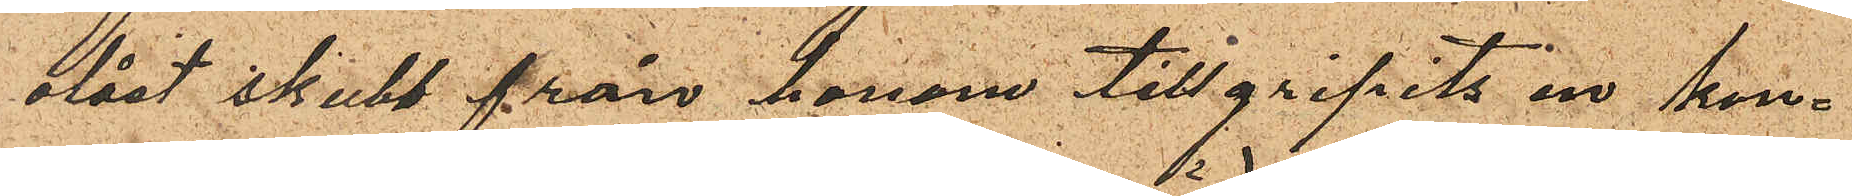olåst skubb från honom tillgripits en kon¬
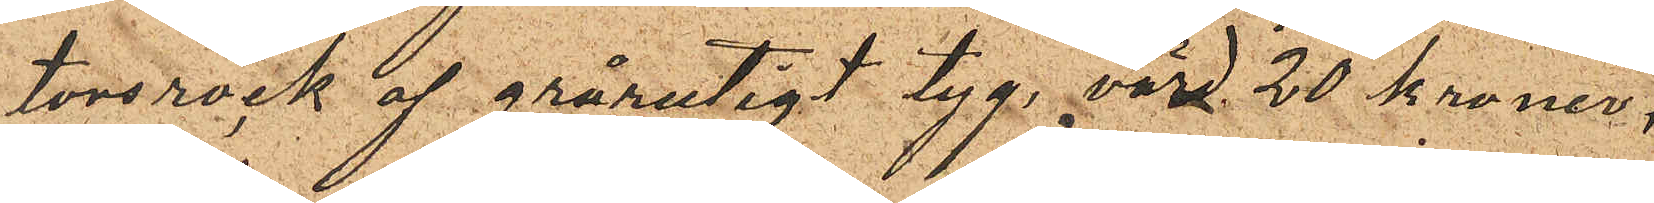torsrock af grårutigt tyg, värd 20 kronor,
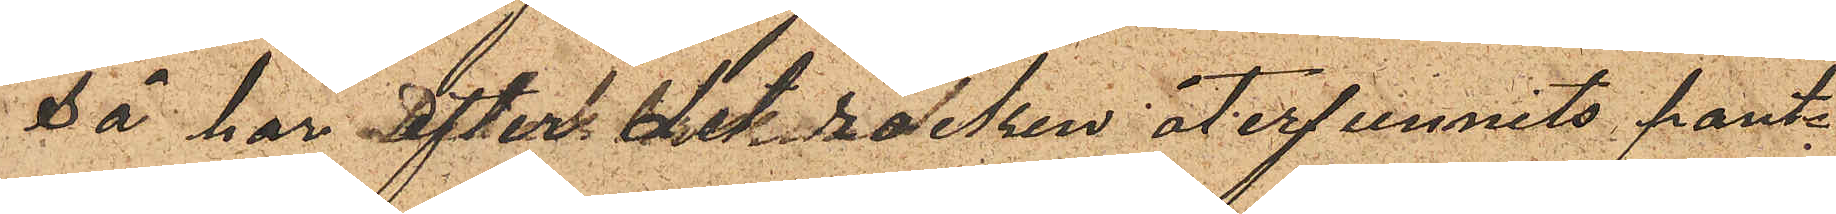Så har efter det rocken återfunnits pant¬
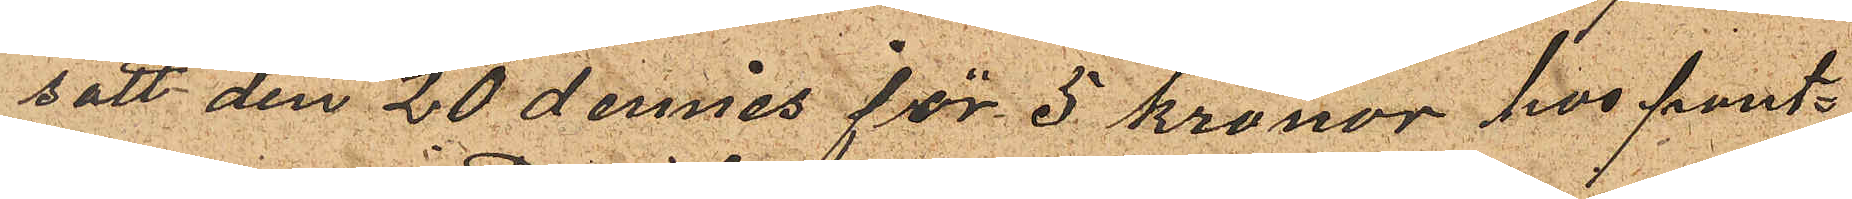satt den 20 dennes för 5 kronor hos pant¬
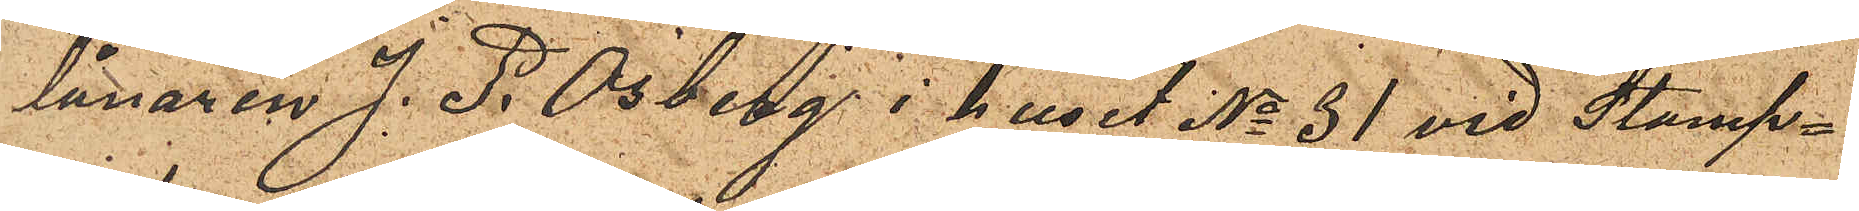lånaren J. P. Osberg i huset No 31 vid Stamp¬
